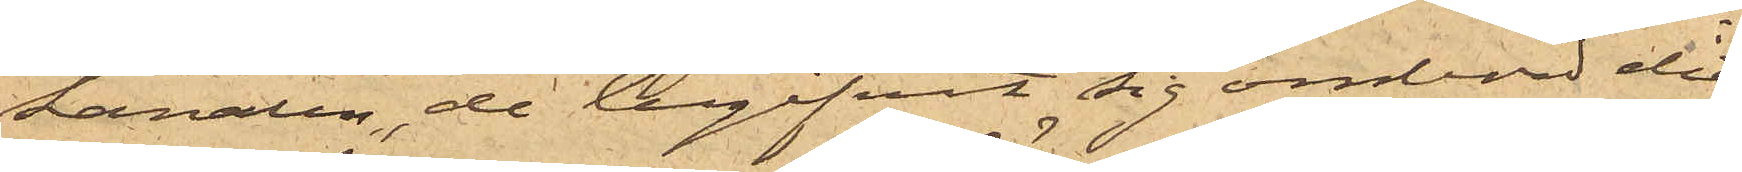kanalen, de begifvit sig ombord dit
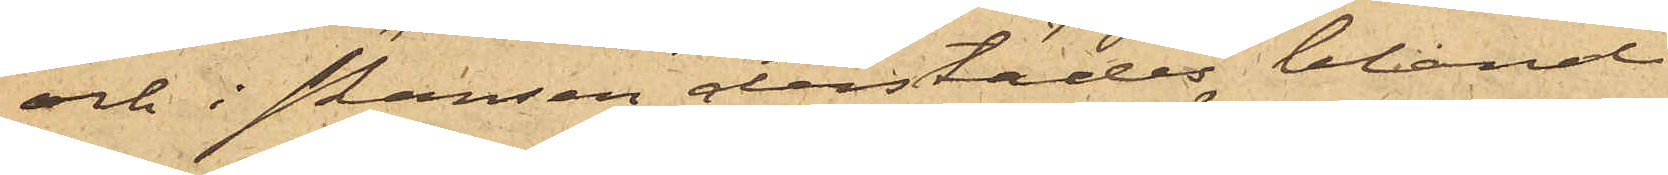och i skansen derstädes bland
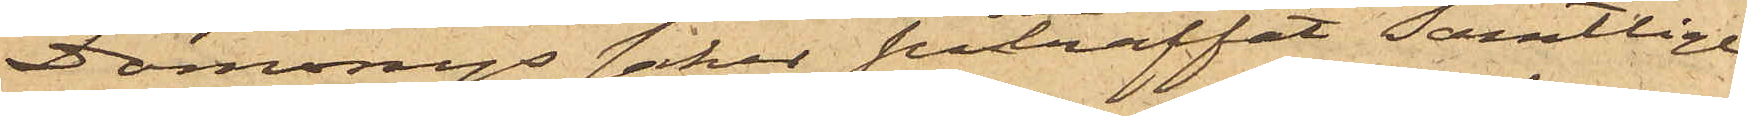Domonys saker påträffat samtlige
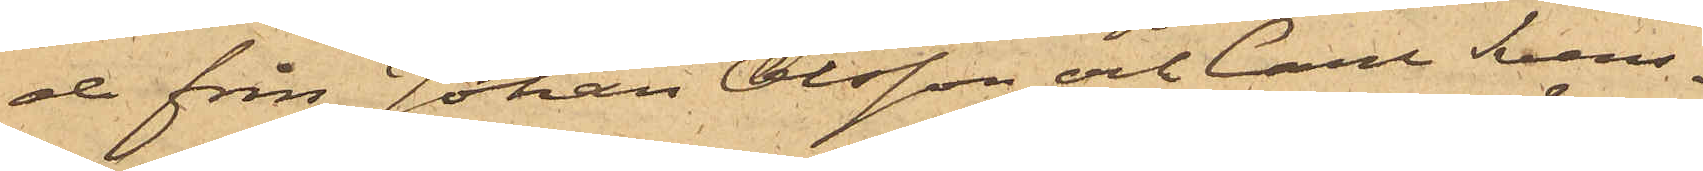de från Johan Olsson och Carl Svens¬
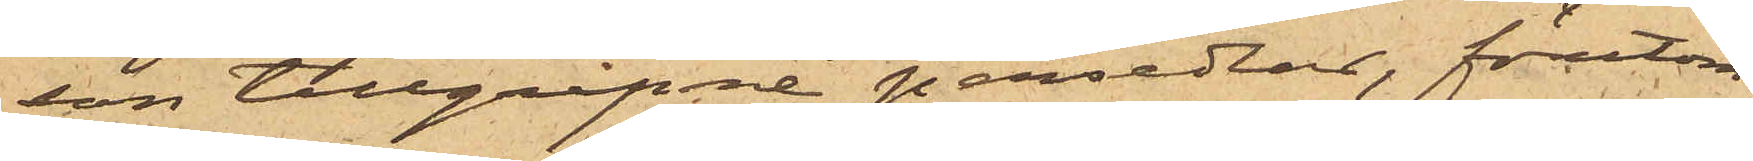son tillgripne persedlar, föutom
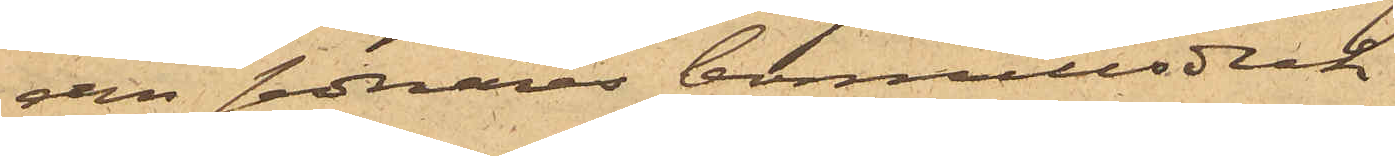den senares bomullsduk.
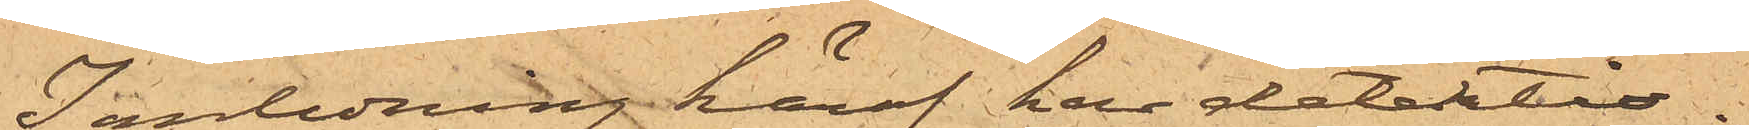I anledning häraf har detektiv¬
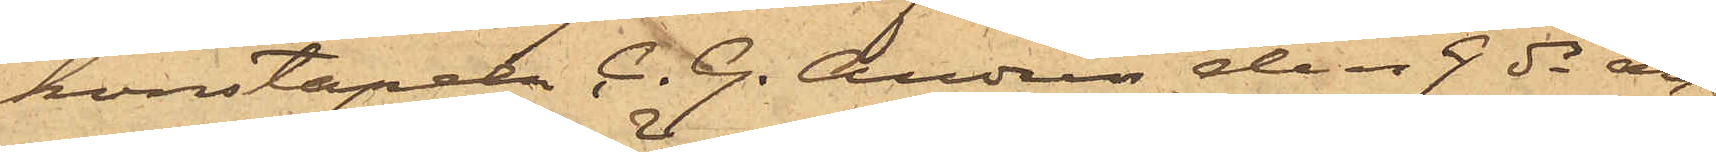konstapeln C. G. Andrén den 9 ds an¬
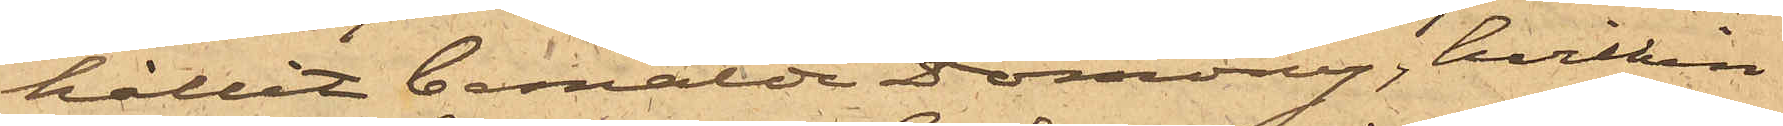hållit bemälde Domony, hvilken
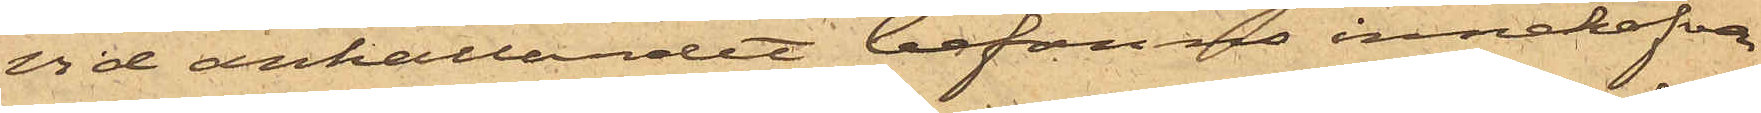vid anhållandet befanns innehafva
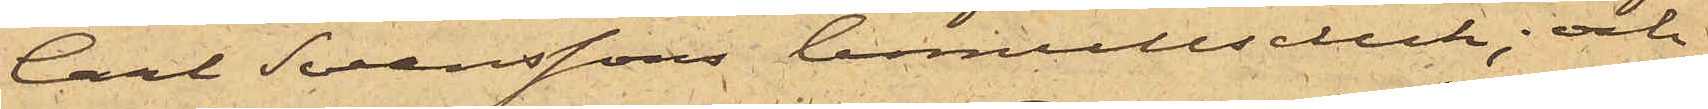Carl Svenssons bomullsduk; och
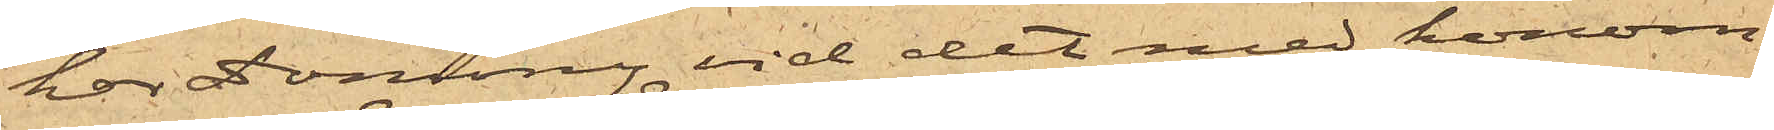har Domony vid det med honom
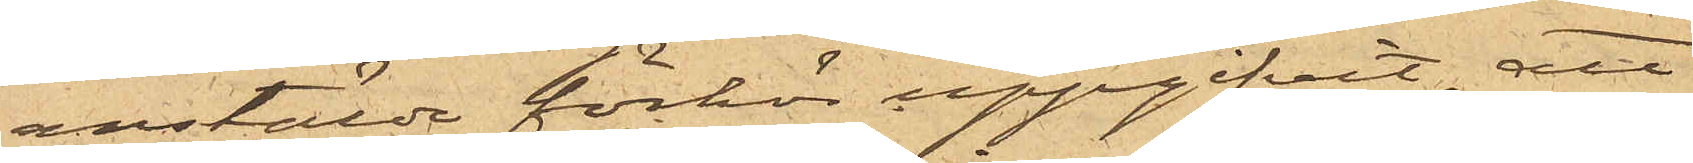anstälde förhör uppgifvit, att
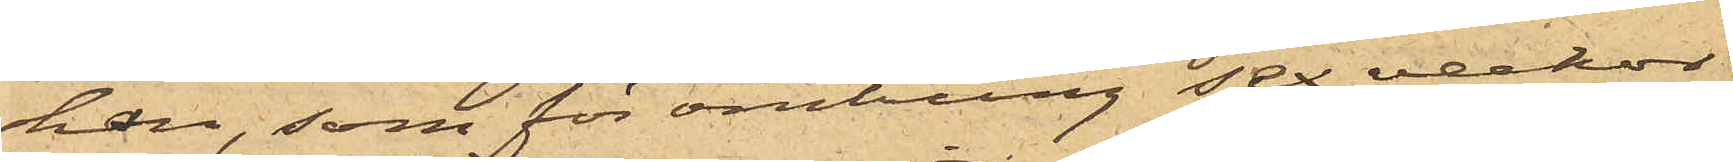han, som för omkring sex veckor
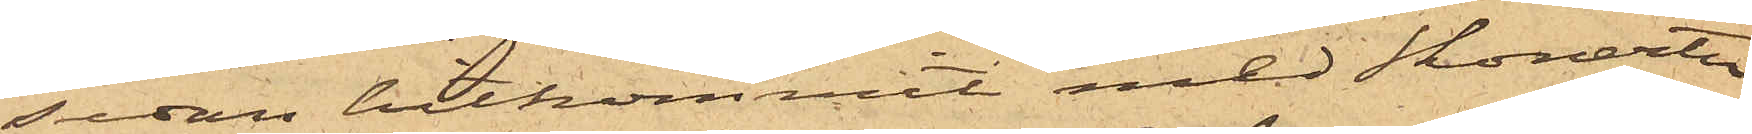sedan hitkommit med Skonerten
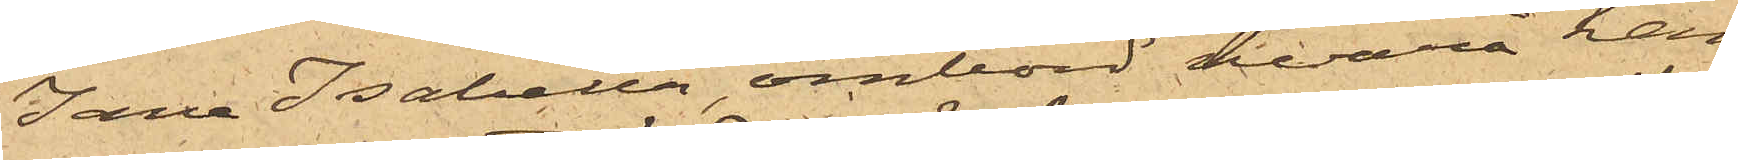"Jane Isabella", ombord hvarå han
